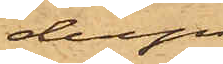derpå
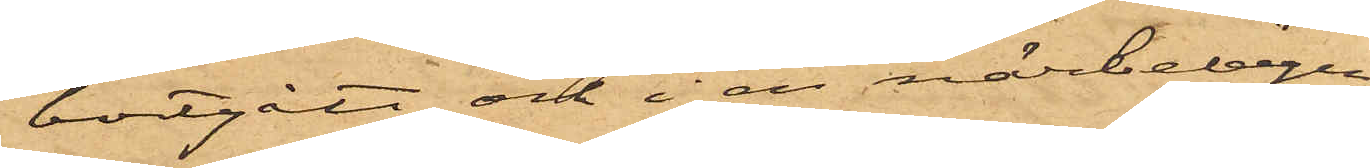bortgått och i en närbelägen
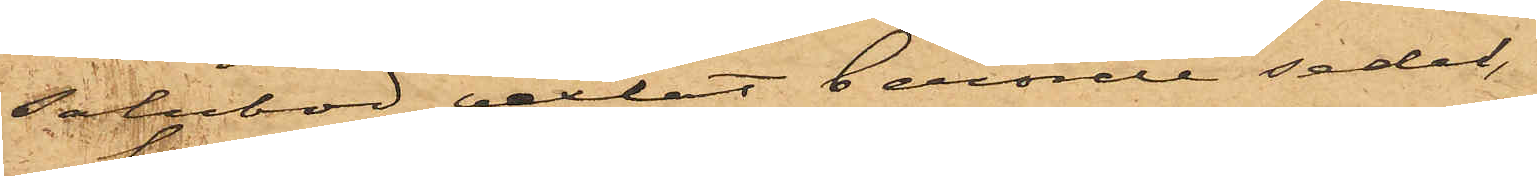salubod vexlat berörde sedel,
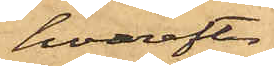hvarefter
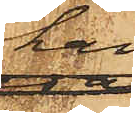han
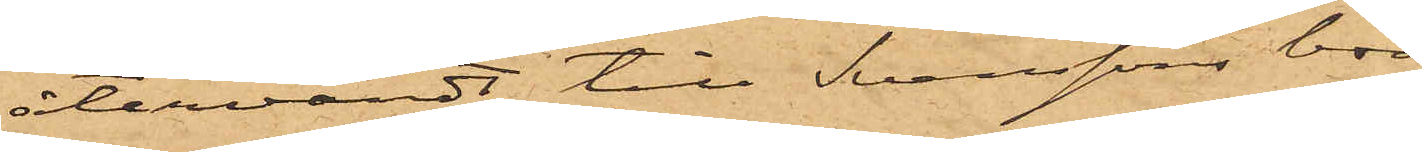återvändt till Svenssons bod,
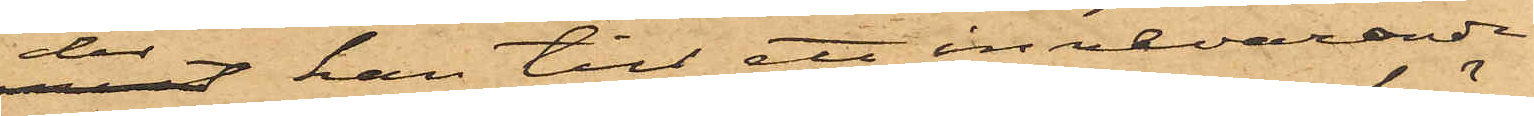der han till ett innevarande
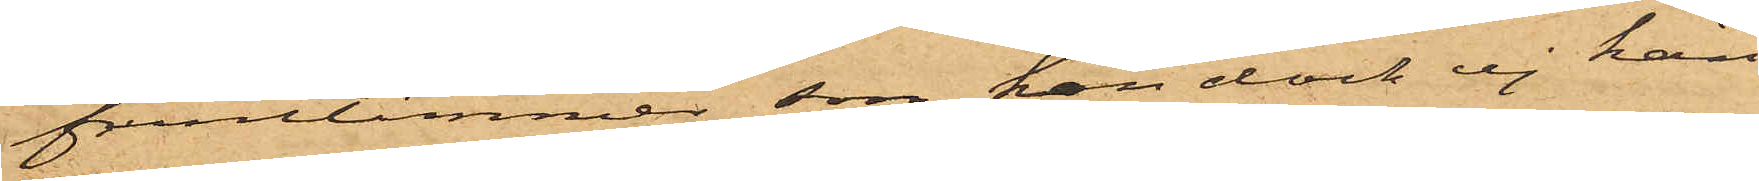fruntimmer, som han dock ej kän¬
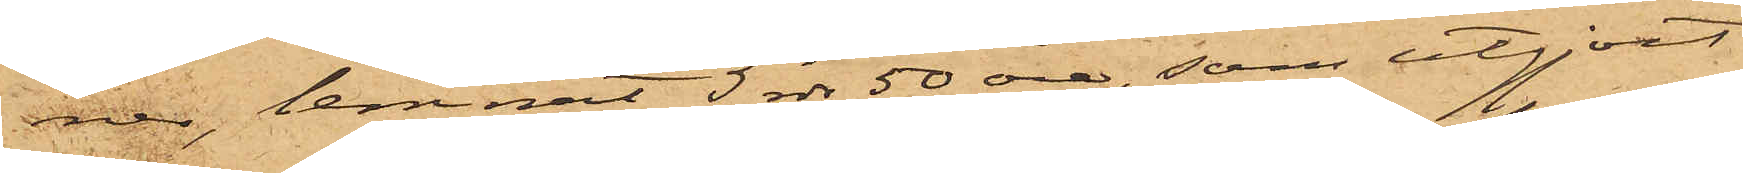ner, lemnat 5 rdr 50 öre, som utgjort
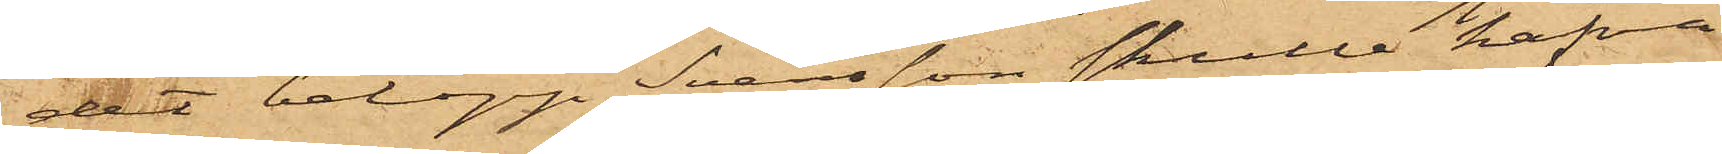det belopp Svensson skulle hafva
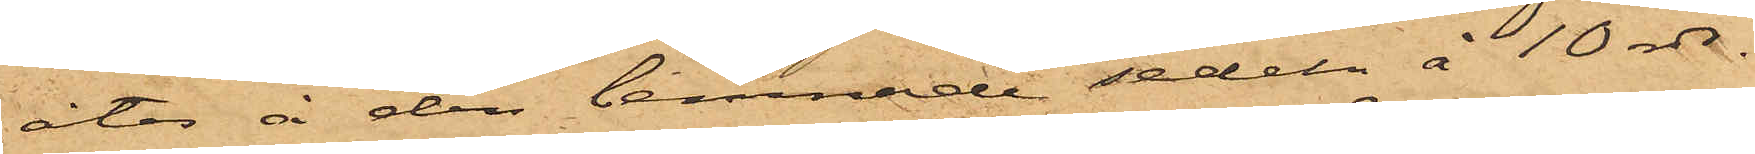åter å den lemnade sedeln å 10 rdr.
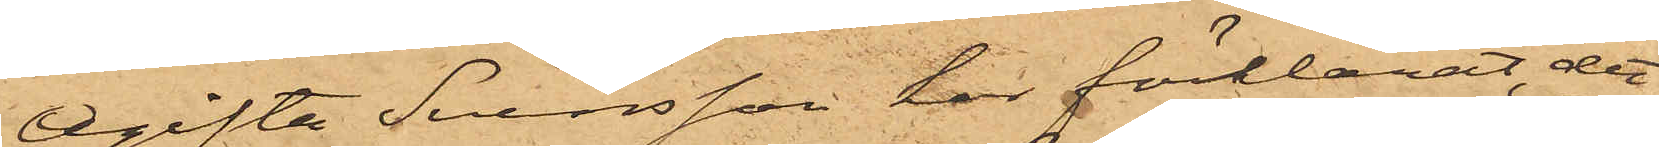Ogifta Svensson har förklarat, det
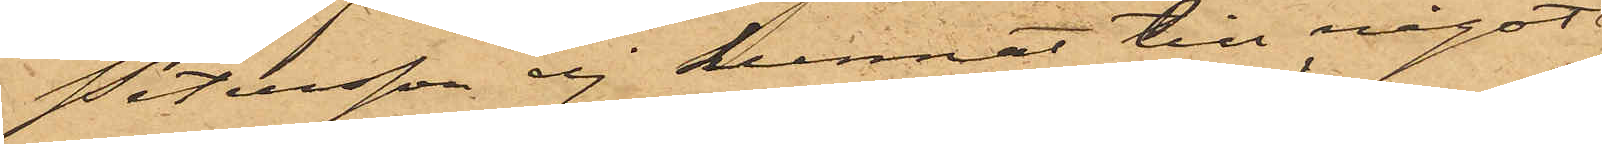Petersson ej kunnat till något
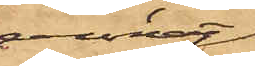annat
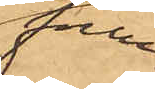frun¬
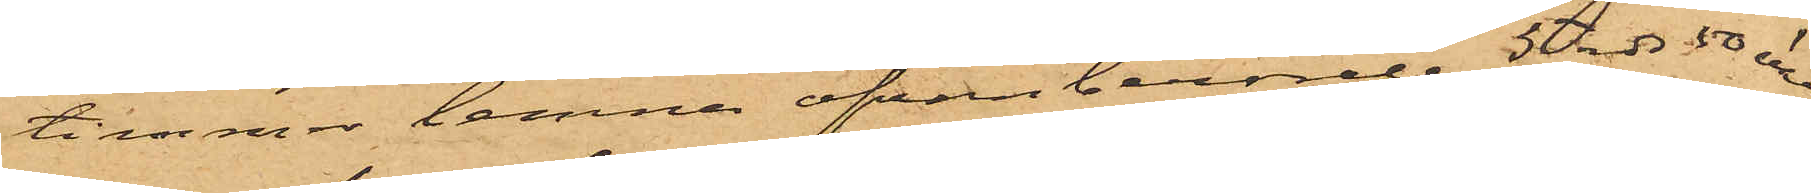timmer lemna ofvanberörde 5 rdr 50 öre,
